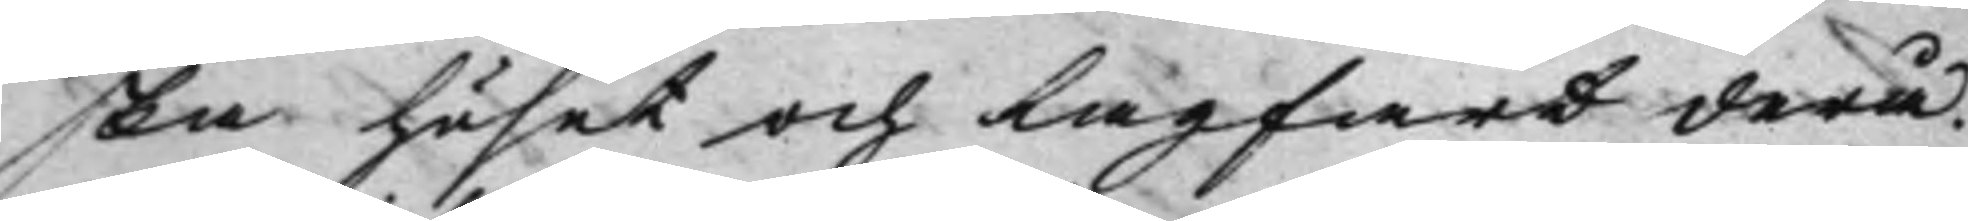ska huset och lagfart derå.
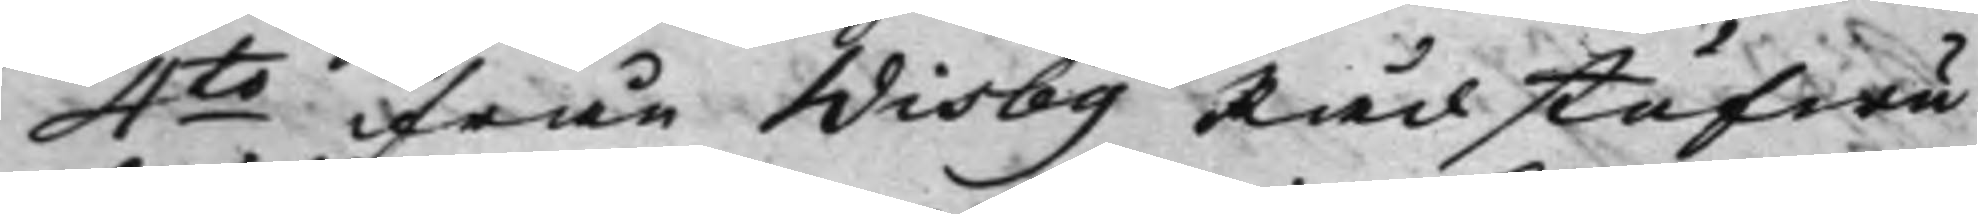4to ifrån Wisby Rådstufwu
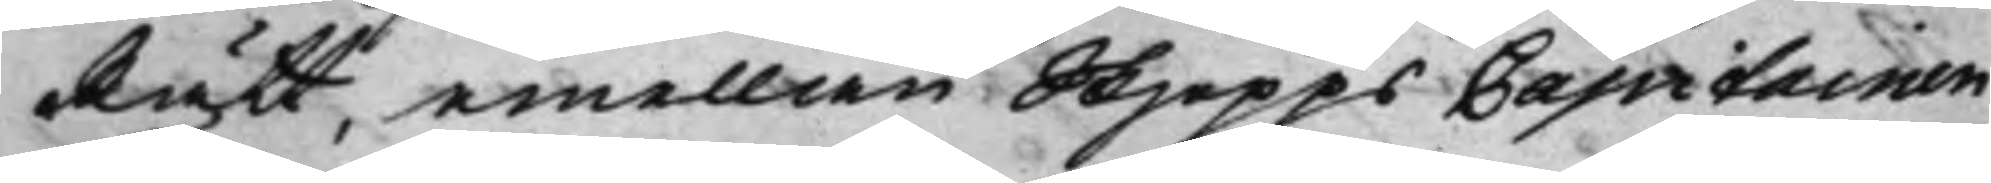Rätt, emellian SkjeppsCapitainen
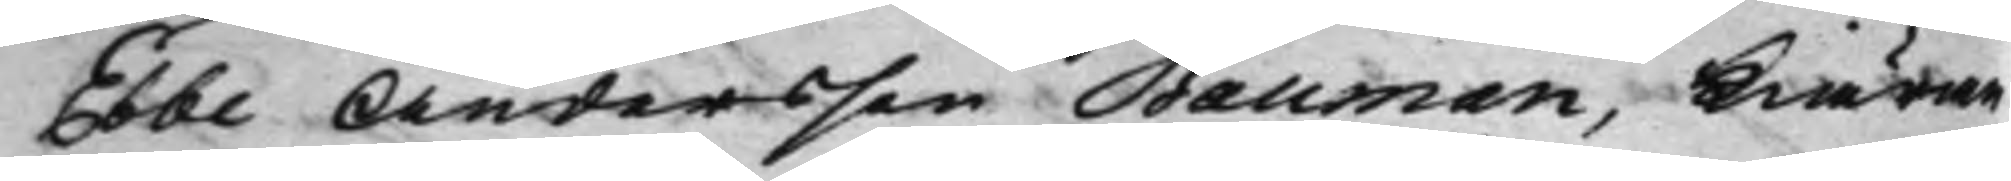Ebbe Andersson Bauman, Kiäran¬
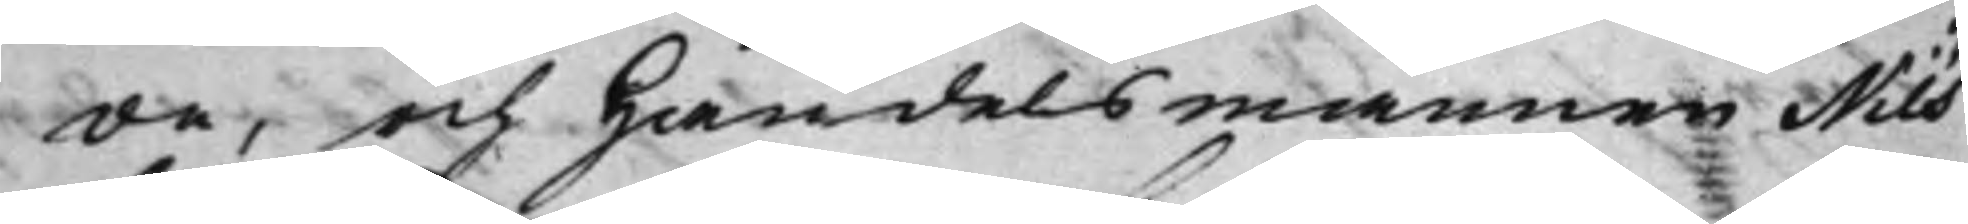de, och Handelsmännen Nils
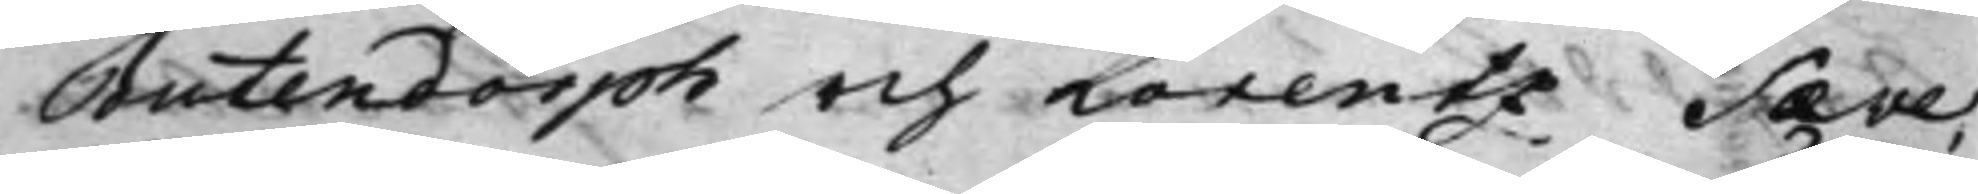Butendorph och Lorentz Sæve,
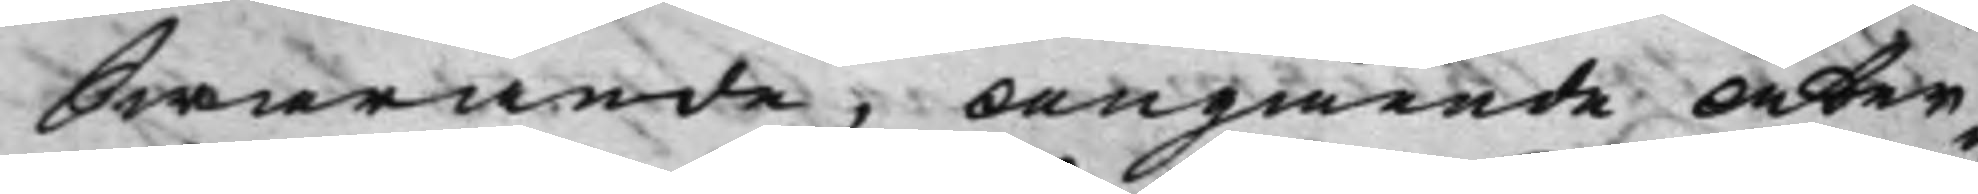Swarande, Angående Åter¬
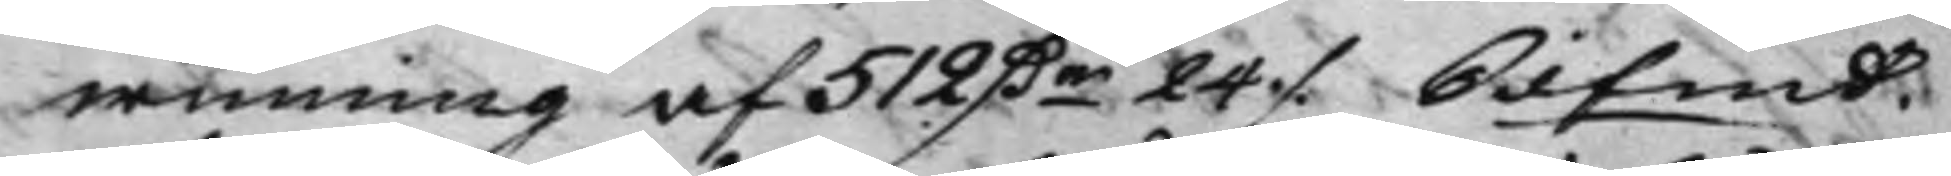winning af 512 Dr 24 ./. Silfmt.
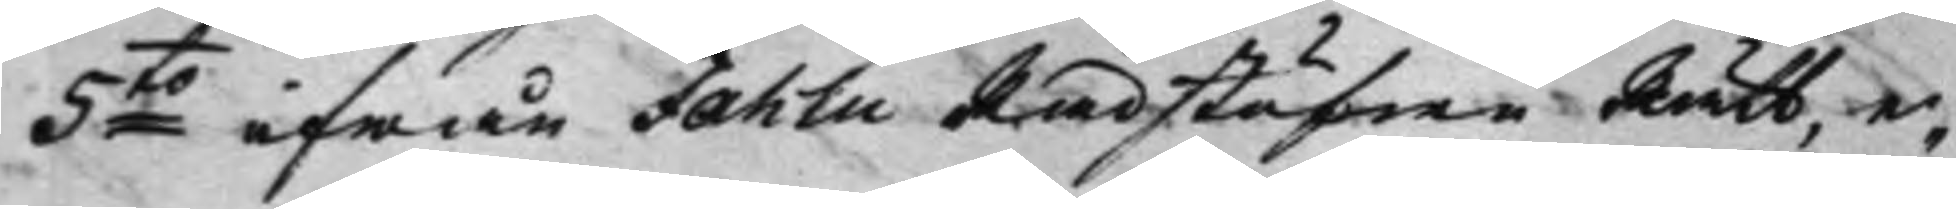5to ifrån Fahlu RådstufwuRätt, e¬
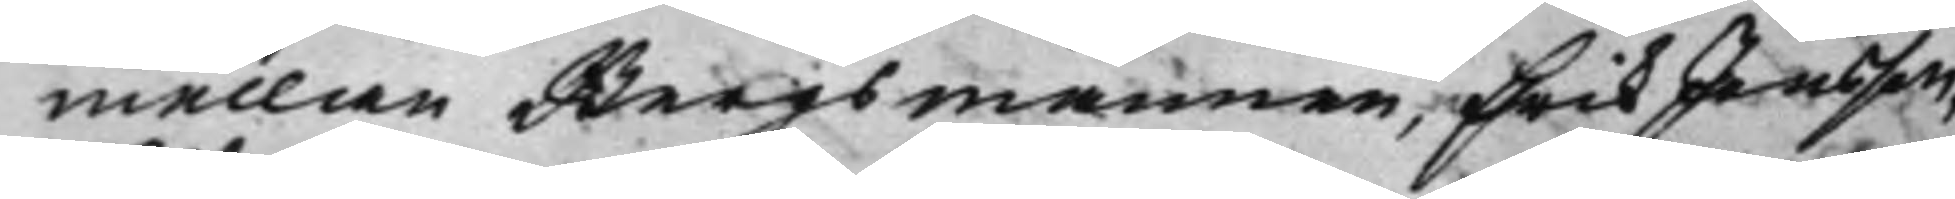mellan Bergsmannen, Erik Jansson,
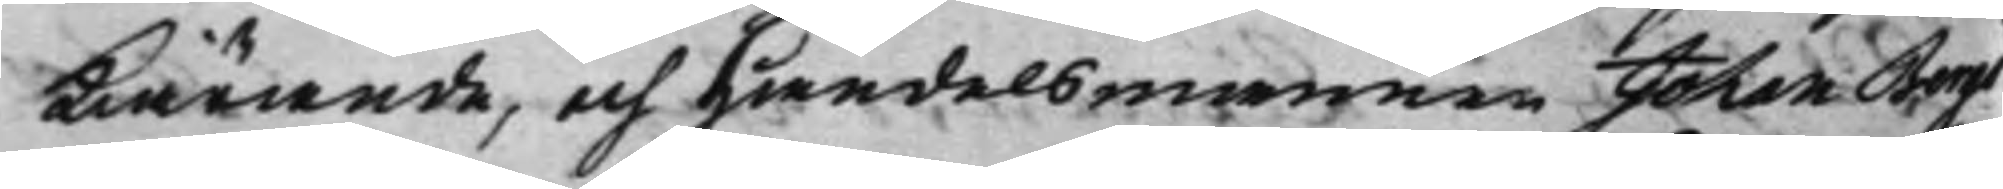Kiärande, och Handelsmannen Johan Bergö
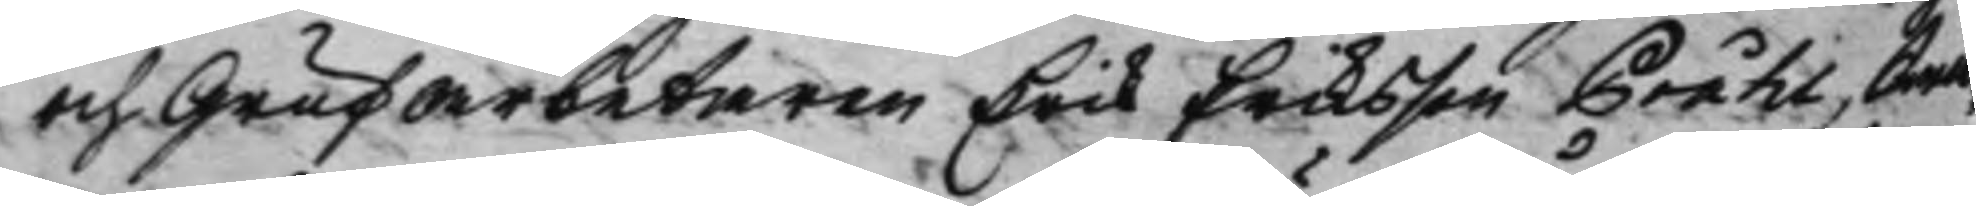och Grufarbetaren Erik Eriksson Pråhl, Swa¬
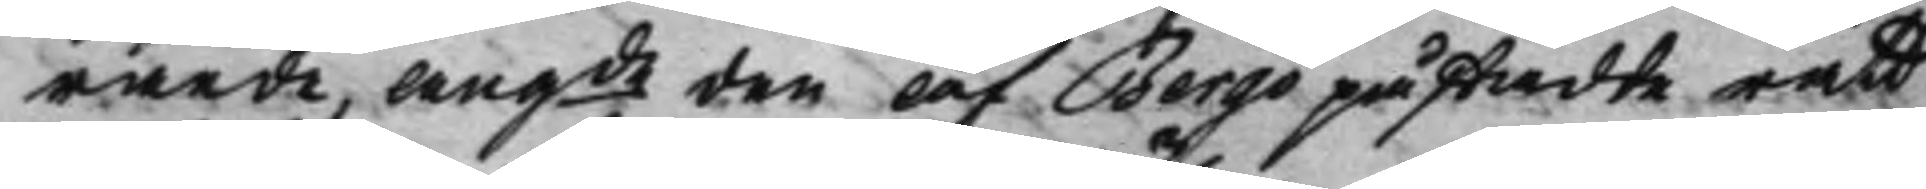rande, angde den af Bergö påstådte rätt
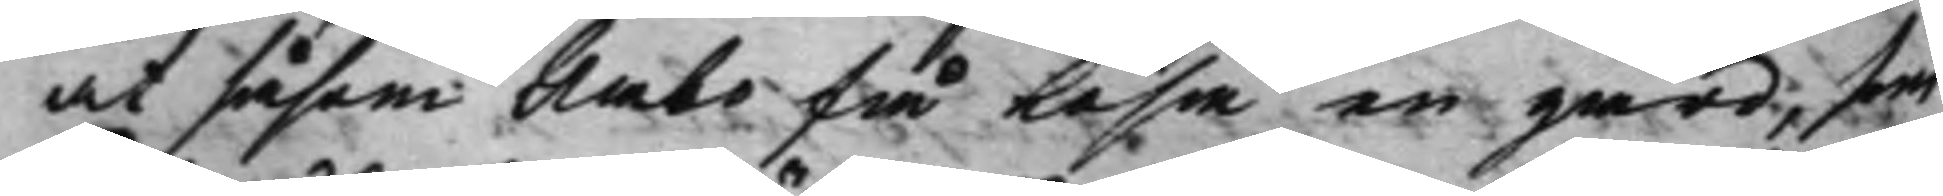at såsom Åbo få lösa en gård, som
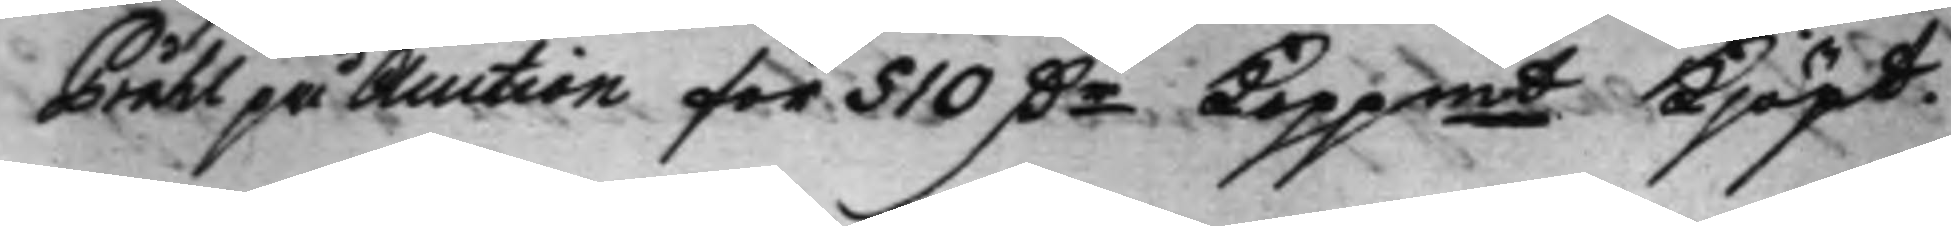Pråhl på Auction för 510 Dr Koppmt Kjöpt.
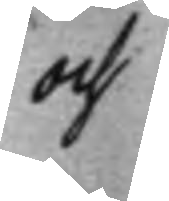och
